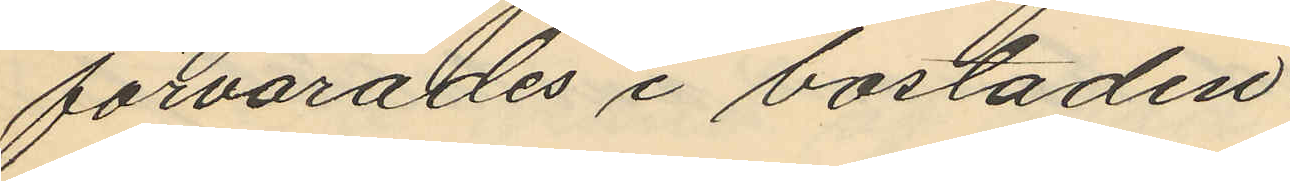förvarades i bostaden.
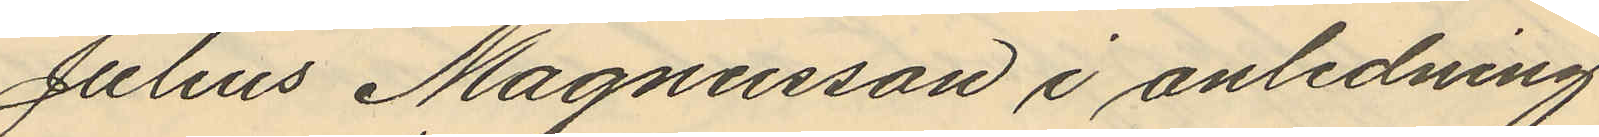Julius Magnusson i anledning
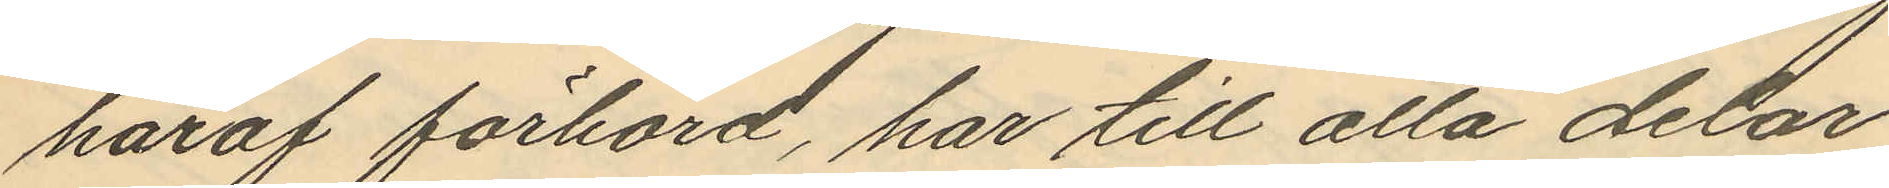häraf förhörd, har till alla delar
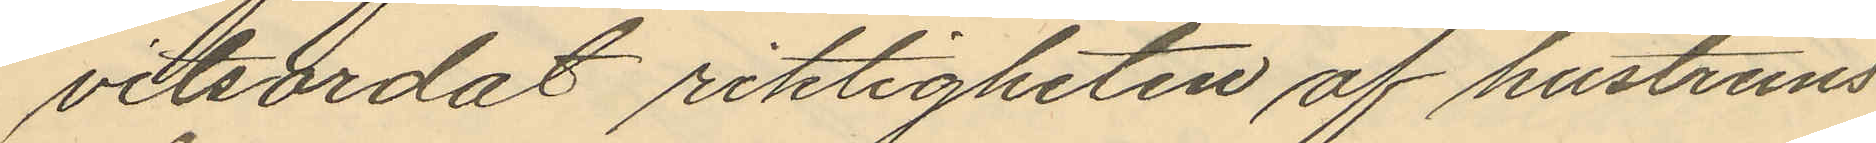vitsordat riktigheten af hustruns
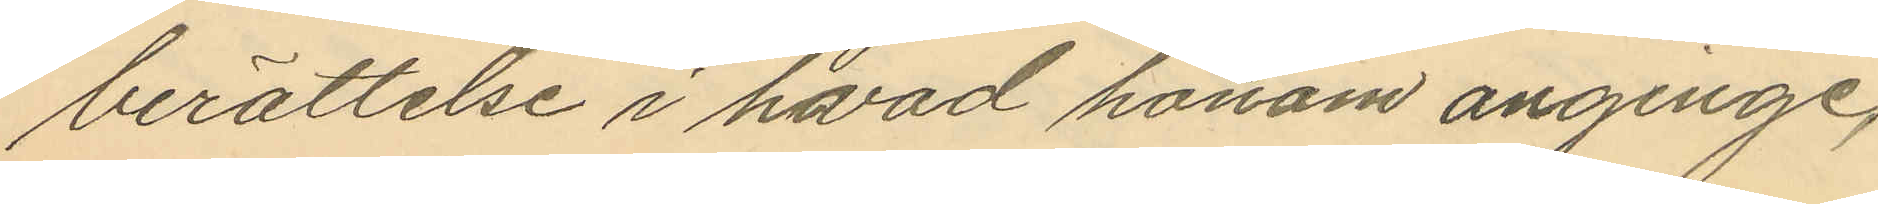berättelse i hvad honom anginge,
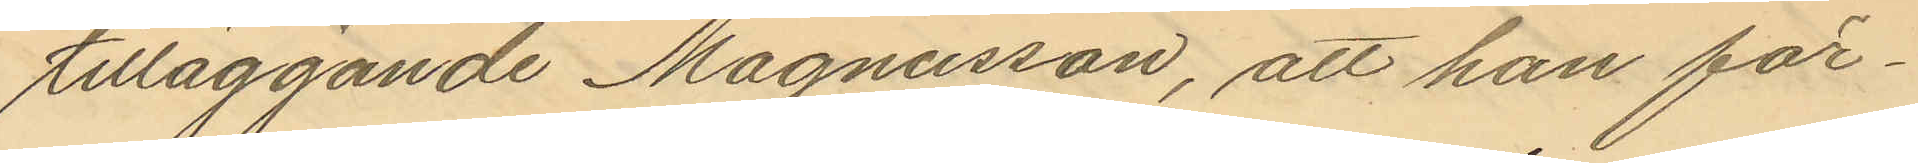tilläggande Magnusson, att han för¬
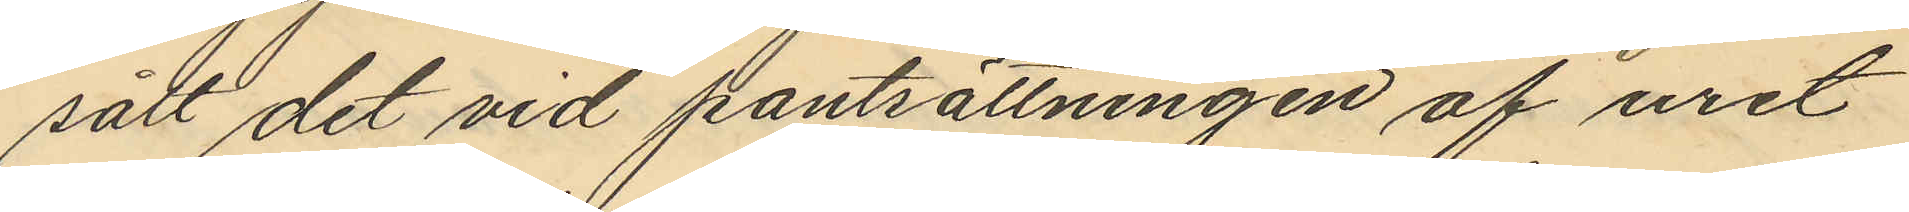sålt det vid pantsättningen af uret
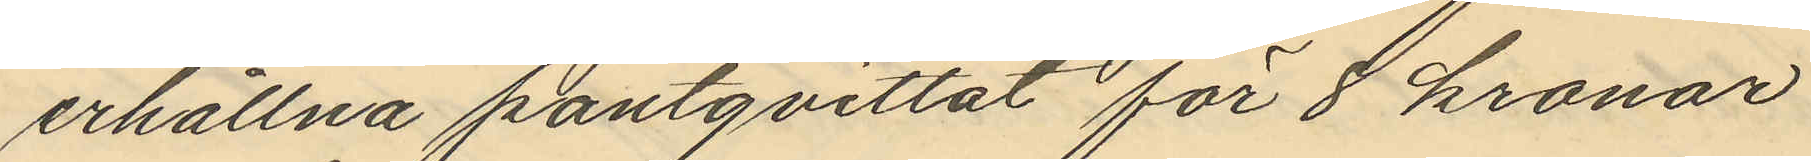erhållna pantqvittot för 8 kronor
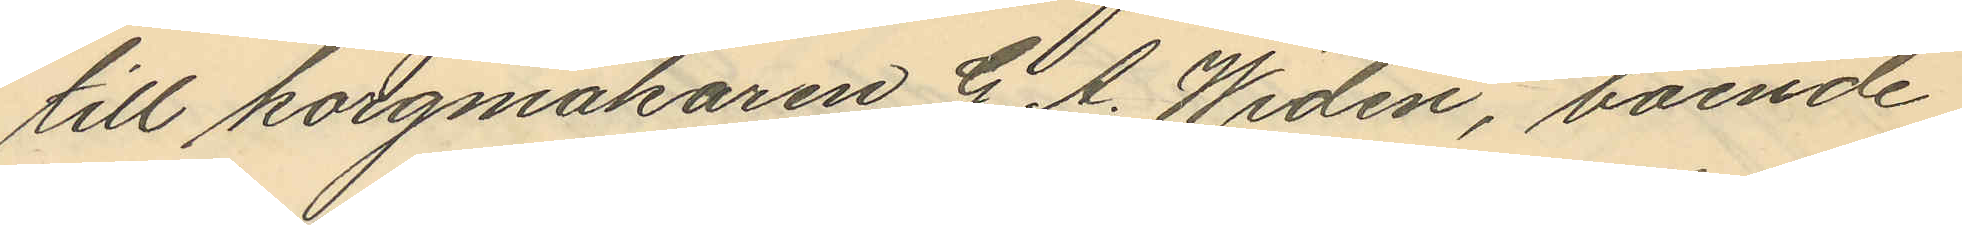till korgmakaren G. A. Widén, boende
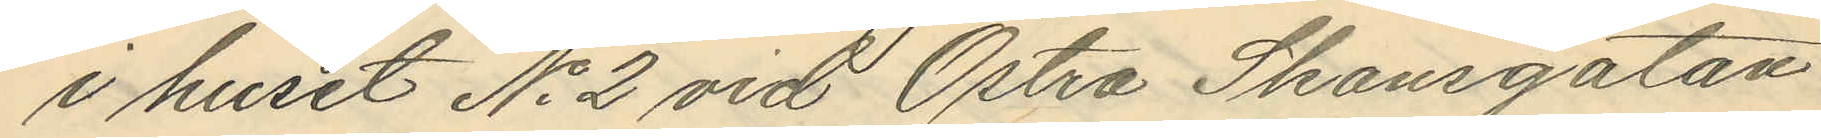i huset No 2 vid Östra Skansgatan
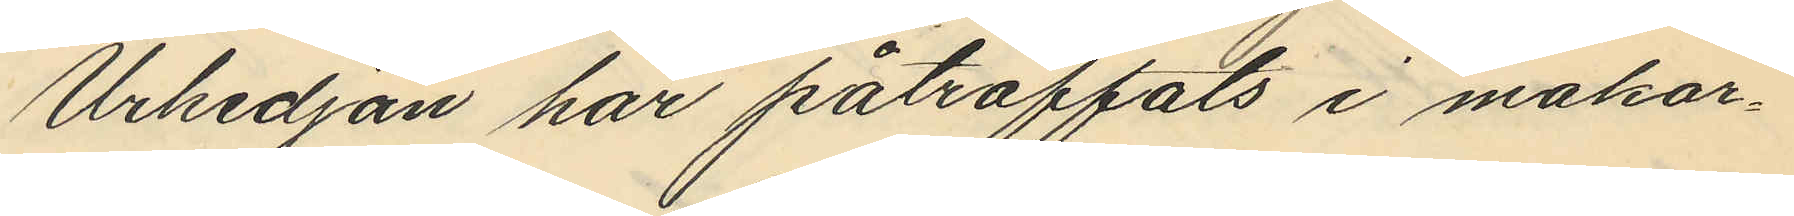Urkedjan har påträffats i makar¬
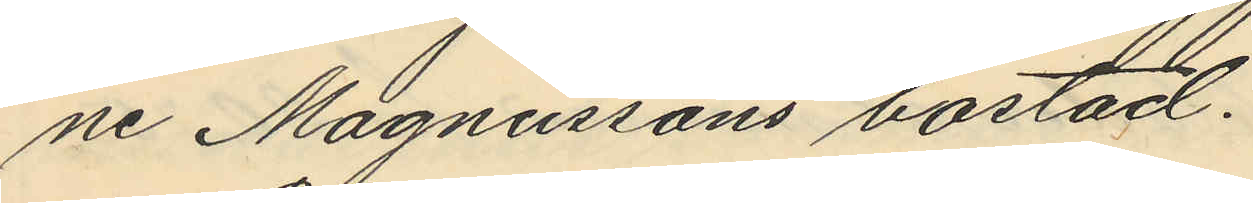ne Magnussons bostad.
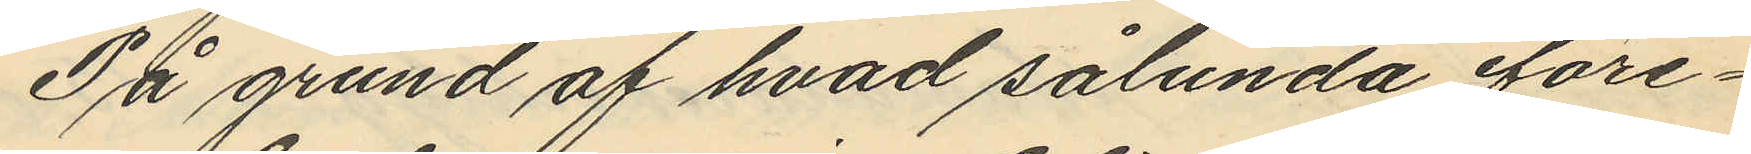På grund af hvad sålunda före¬
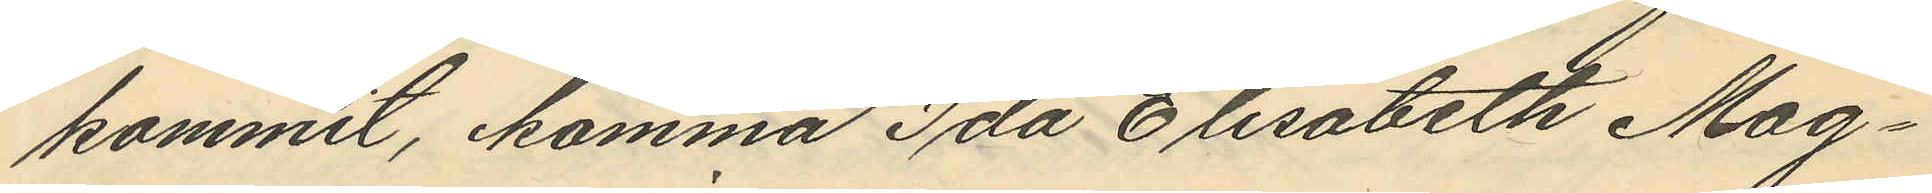kommit, komma Ida Elisabeth Mag¬
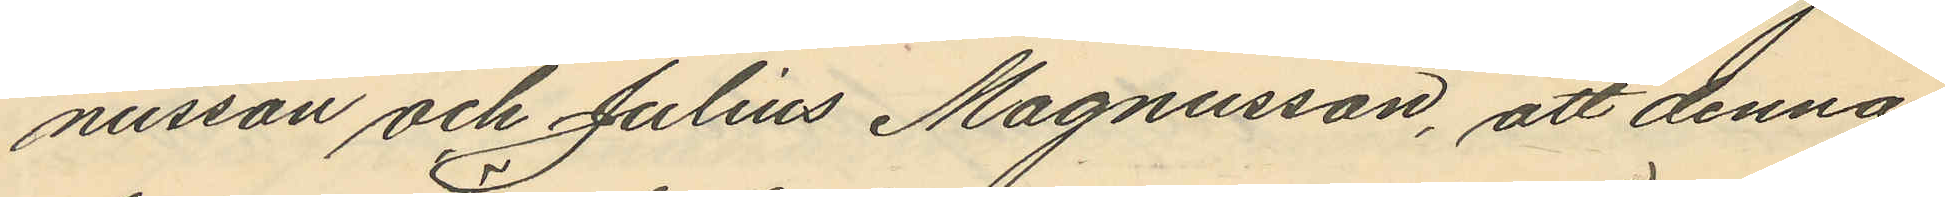nusson och Julius Magnusson, att denna
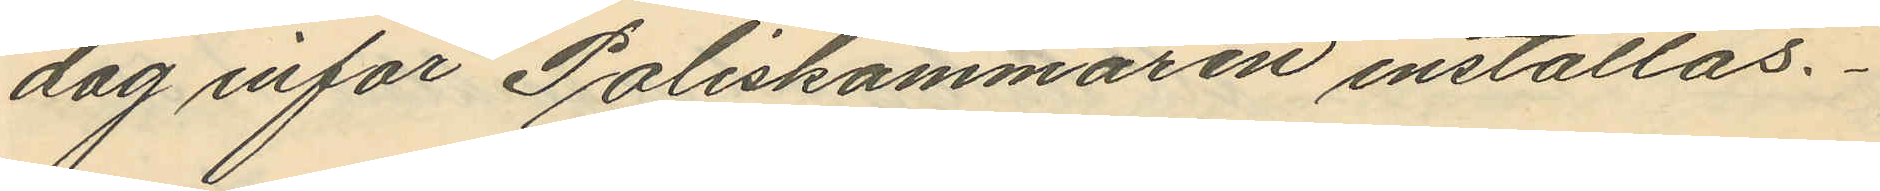dag inför Poliskammaren inställas.
